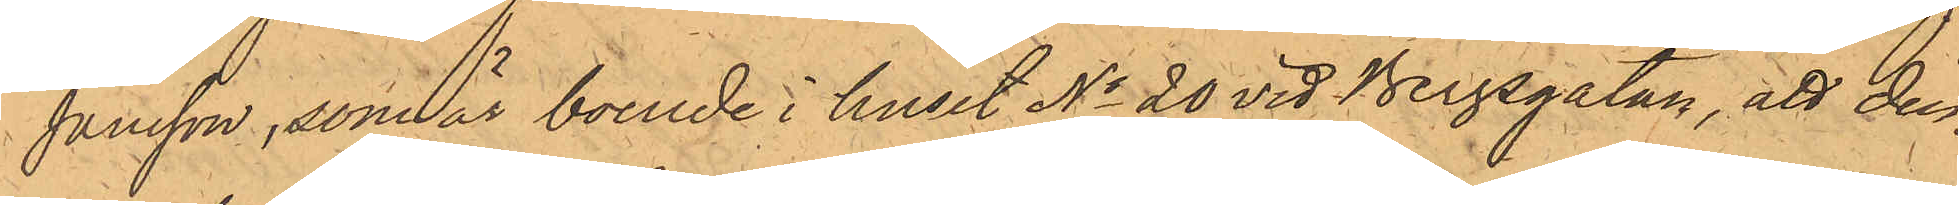Jansson, som är boende i huset No 20 vid Bergsgatan, att den¬
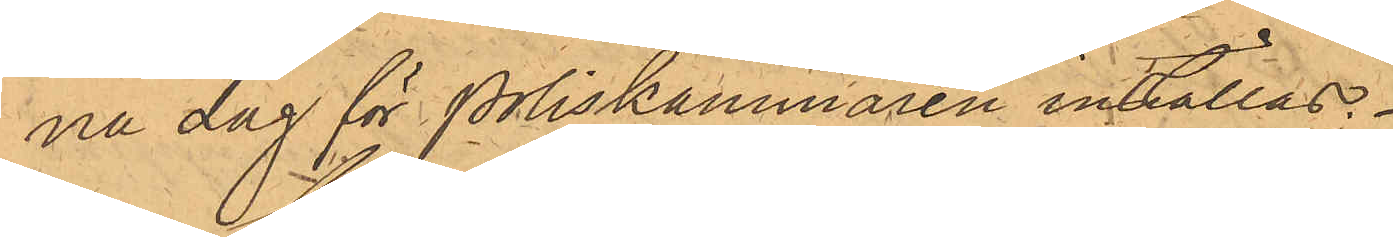na dag för Poliskammaren inställas.
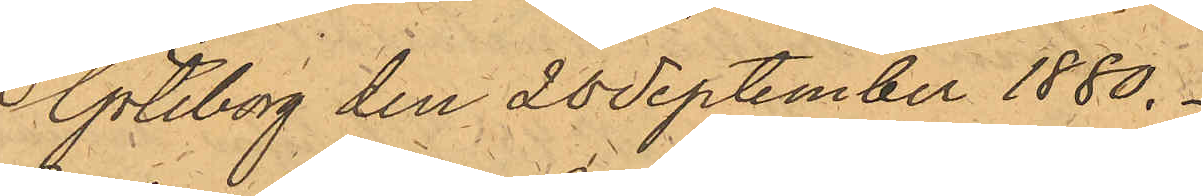Göteborg den 28 September 1880.
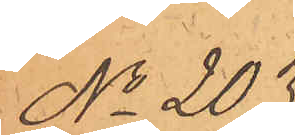No 203.
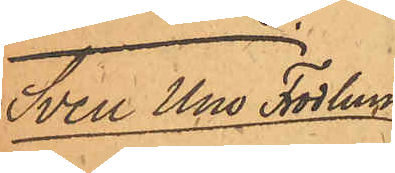Sven Uno Frodlund
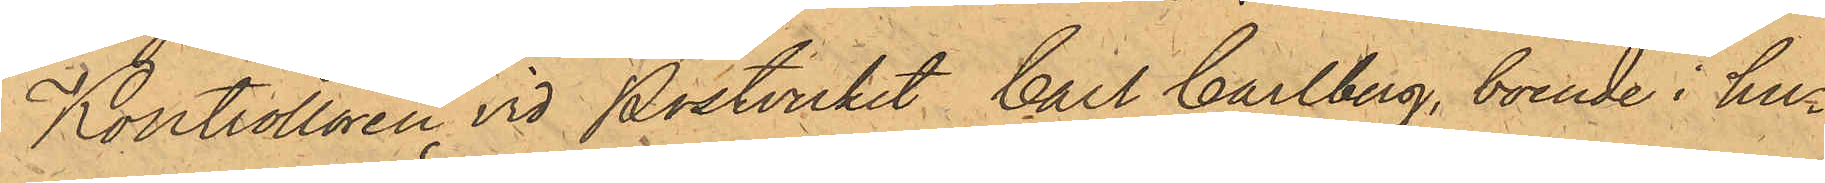Kontrollören vid Postverket, Carl Carlberg, boende i hur¬
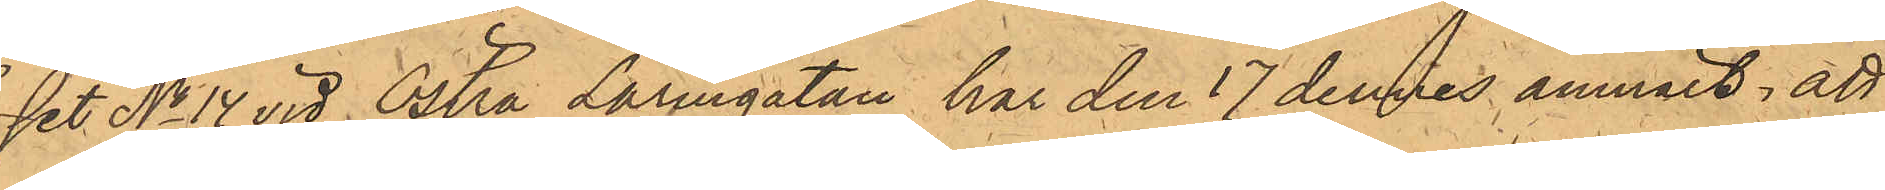set No 14 vid Östra Larmgatan har den 17 dennes anmält, att
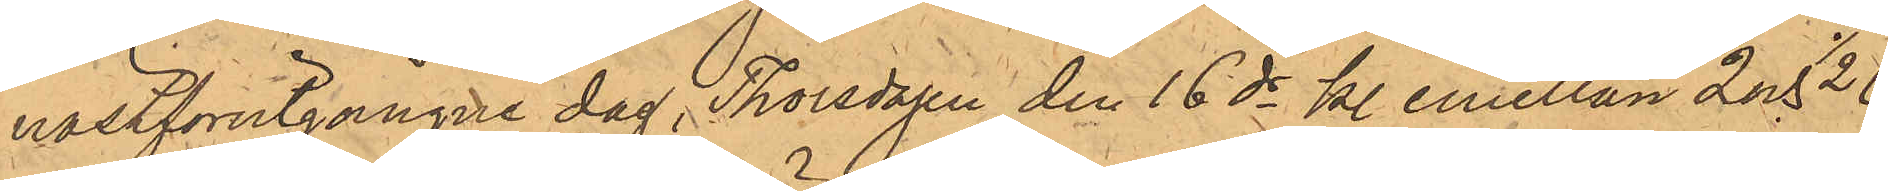nästförutgångne dag, Thorsdagen den 16 ds kl. emellan 2 och 1/2 6
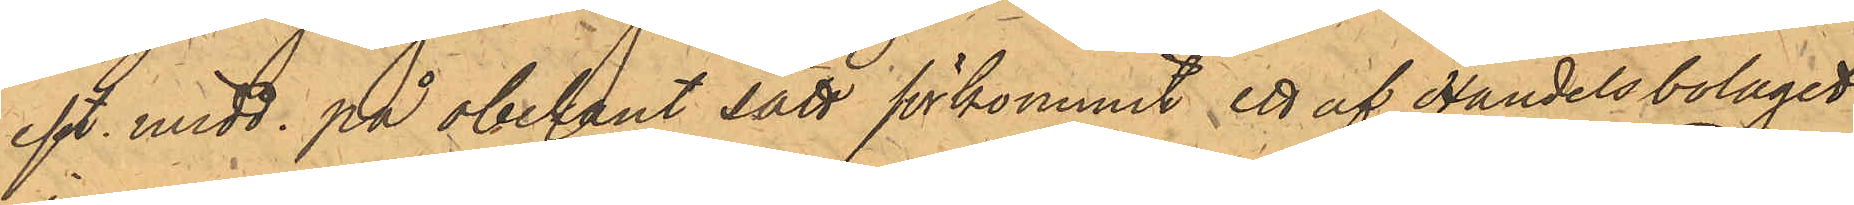eft. midd. på obekant sätt förkommit ett af Handelsbolaget
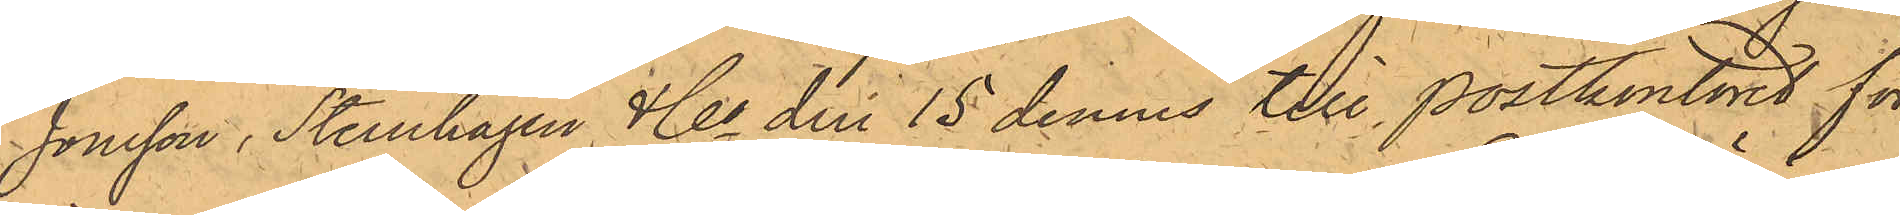Jonsson , Sternhagen & Co den 15 dennes till Postkontoret för
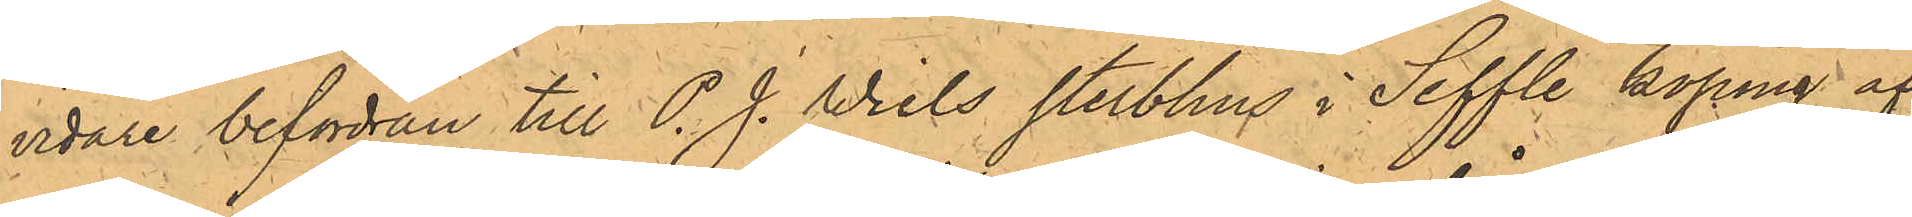vidare befordran till P. J. Wiels sterbhus i Seffle köping af¬
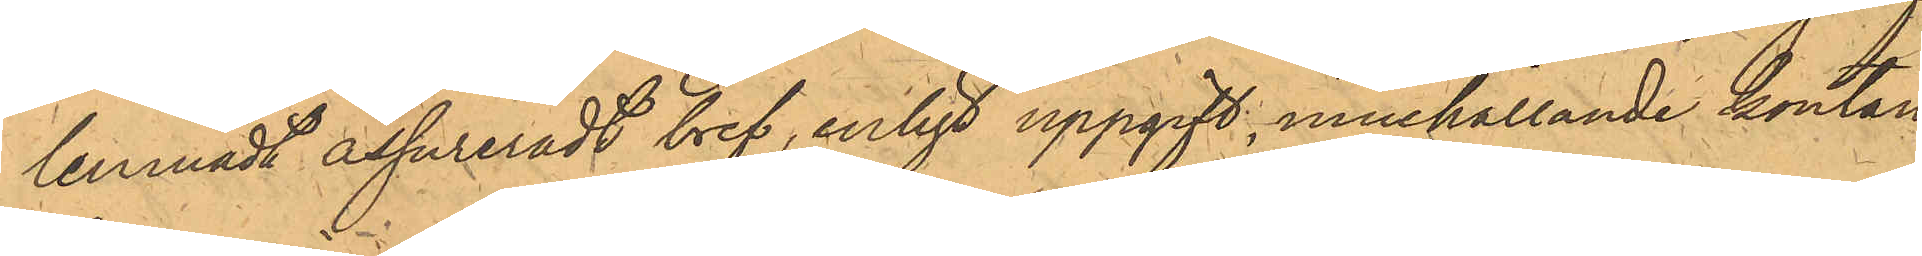lemnadt assureradt bref, enligt uppgift, innehållande kontan¬
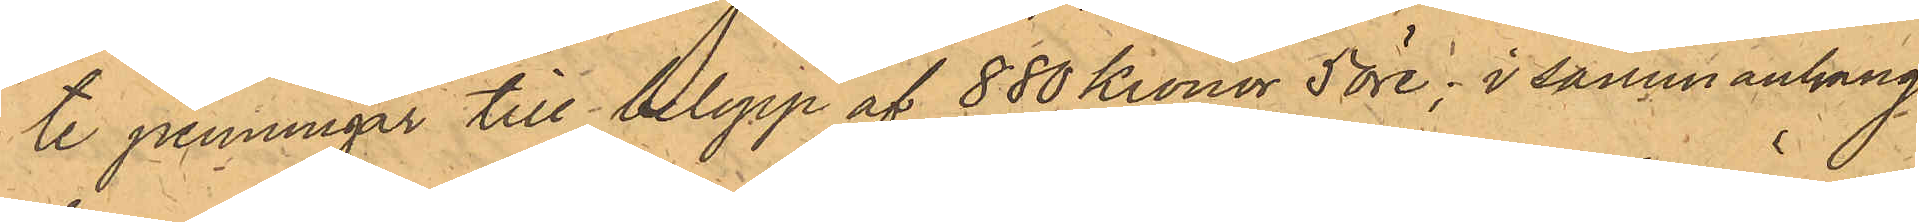te penningar till belopp af 880 Kronor 5 öre, i sammanhang
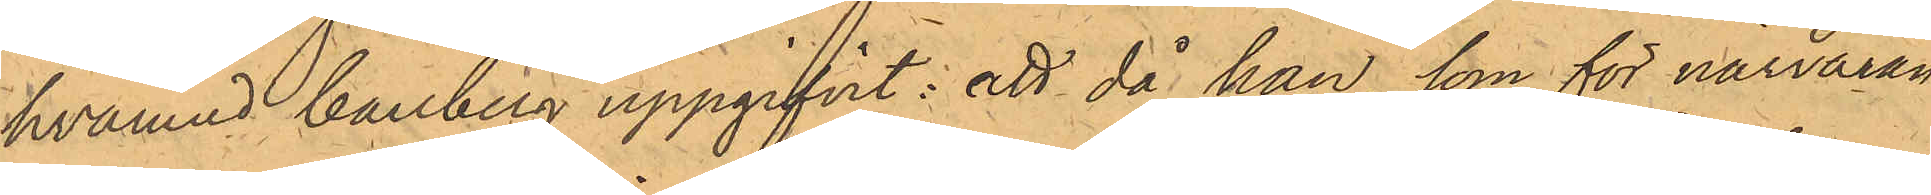hvarmed Carlberg uppgifvit: att då han, som för närvaran¬
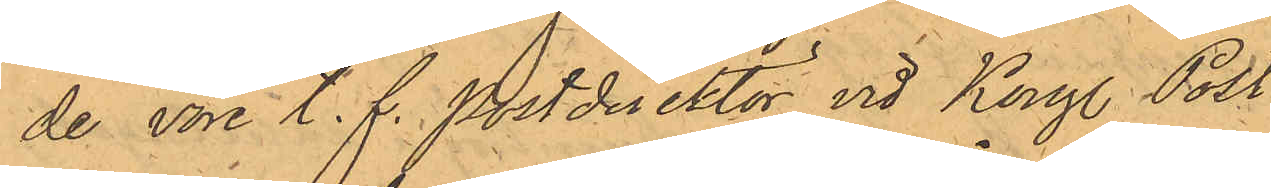de vore t. f. Postdirektör vid Kongl. Post.
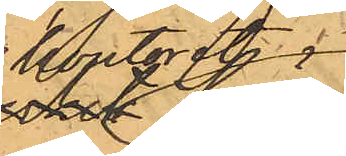Kontoret
